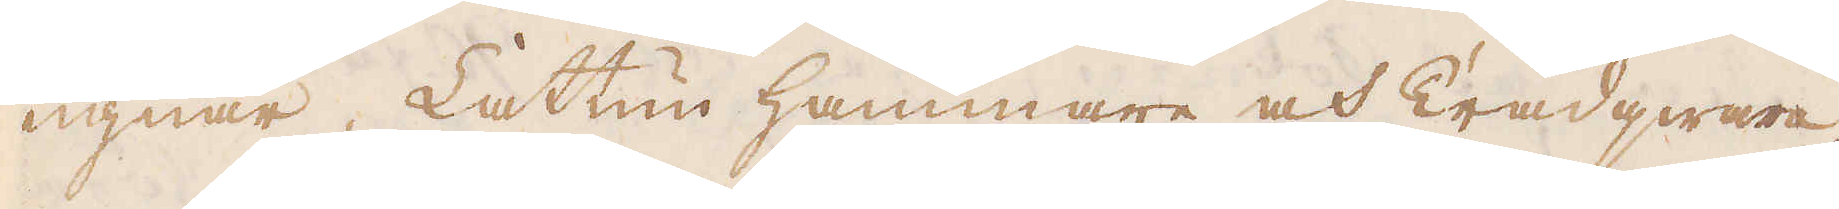ugnar, Lattun hammare och Trådqwarn
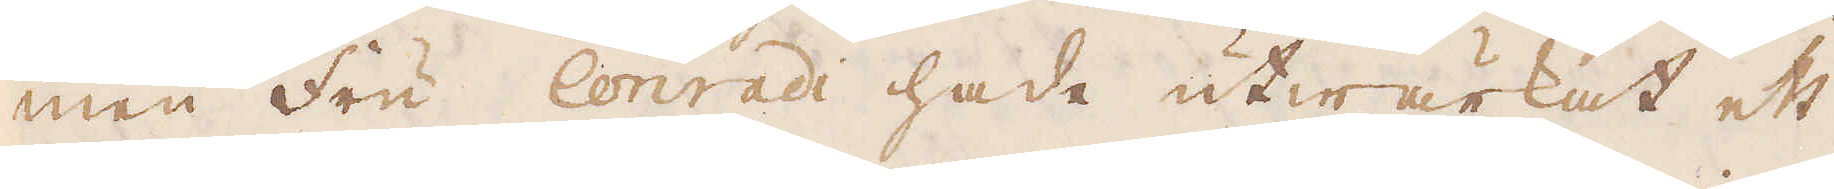men Fru Conradi hade utwärkat ett
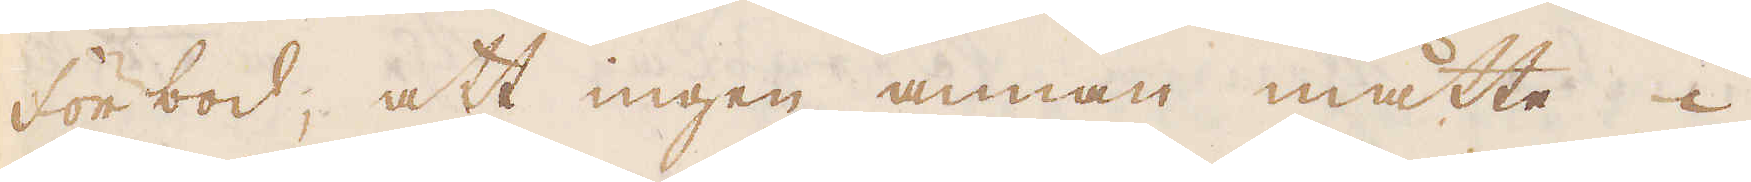Förbod, att ingen annan måtte i
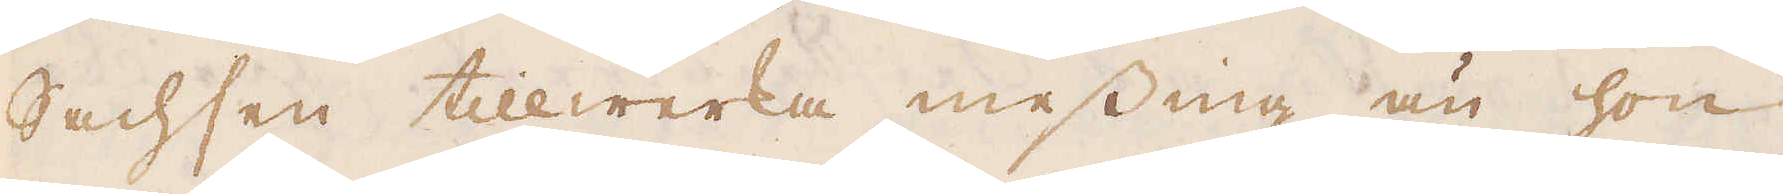Sachsen tillwerka messing än hon
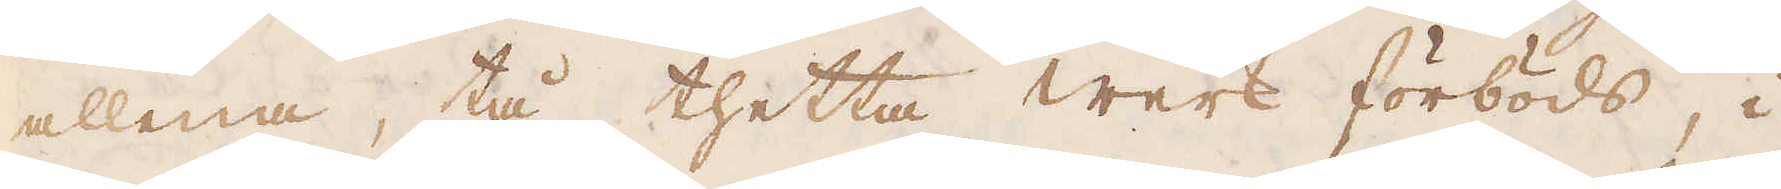allena, tå thetta werk förböds, i
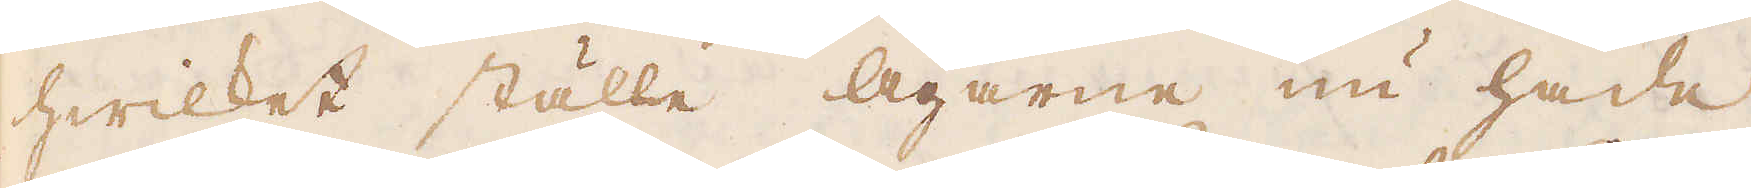hwilket ställe Ägarne nu hade
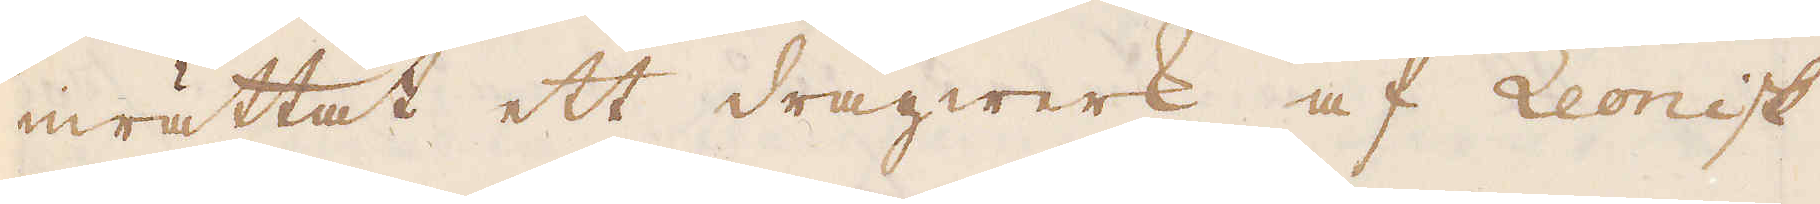inrättat ett dragwerk af Leonisk
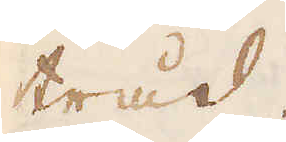tråd.
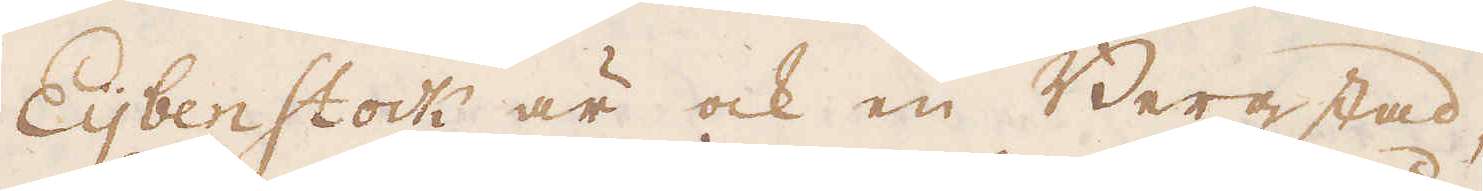Eijbenstock är ock en Bergstad,
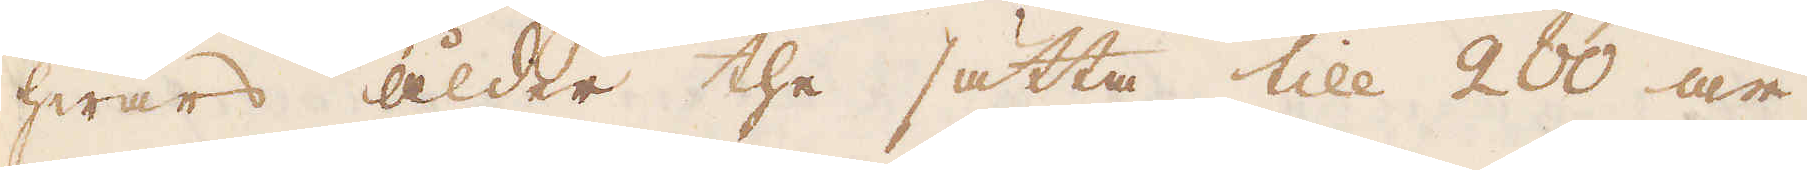hwars ålder the sätta till 200 år
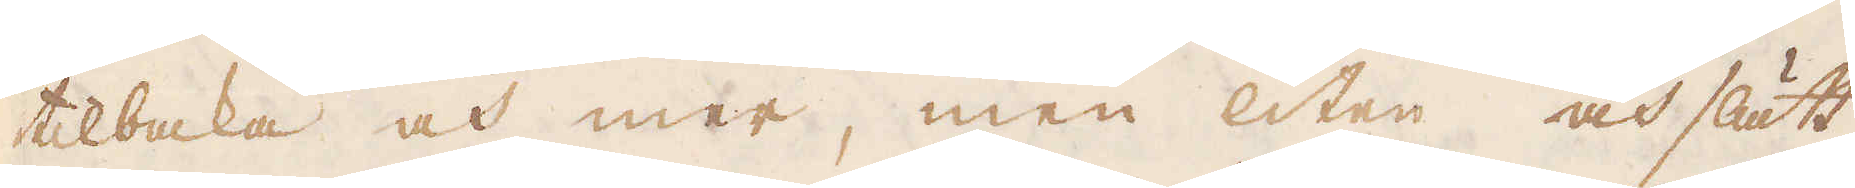tilbaka och mer, men liten och slätt,
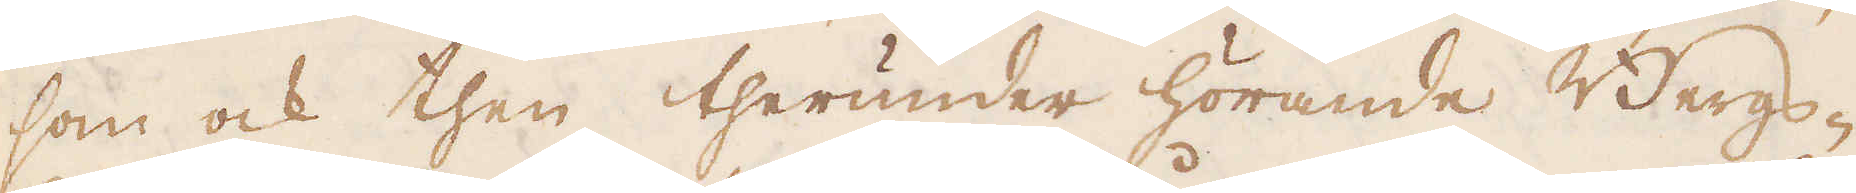som ock then therunder hörande Bergs-
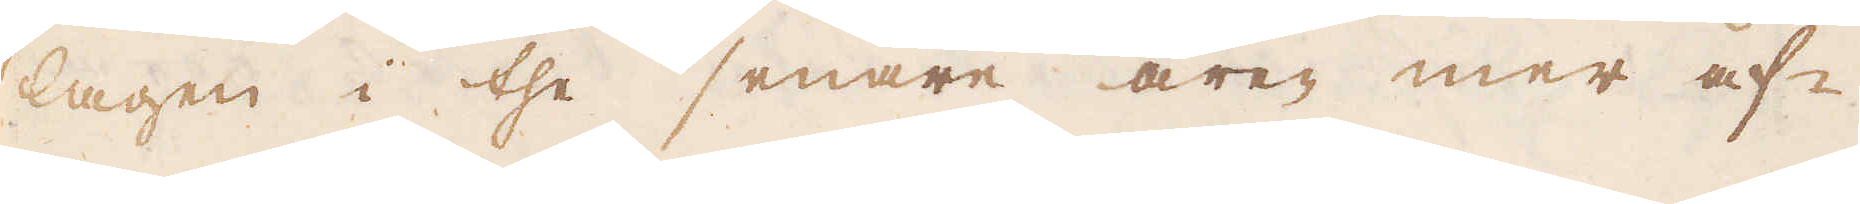lagen i the senare åren mer af-
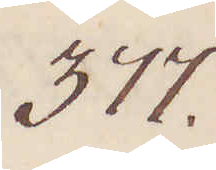377.
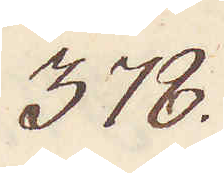378.
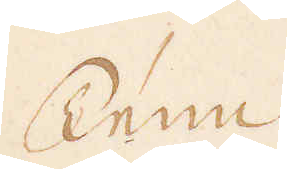Tenn
